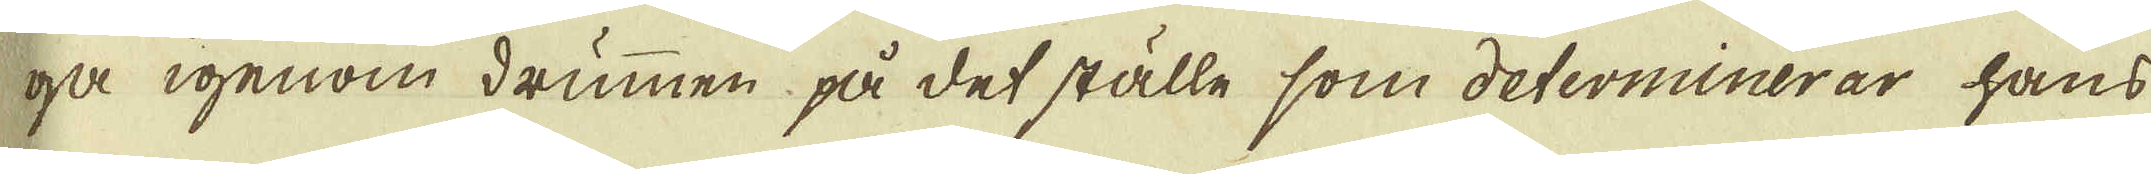ga igenom drummen på det ställe som determinerar hans
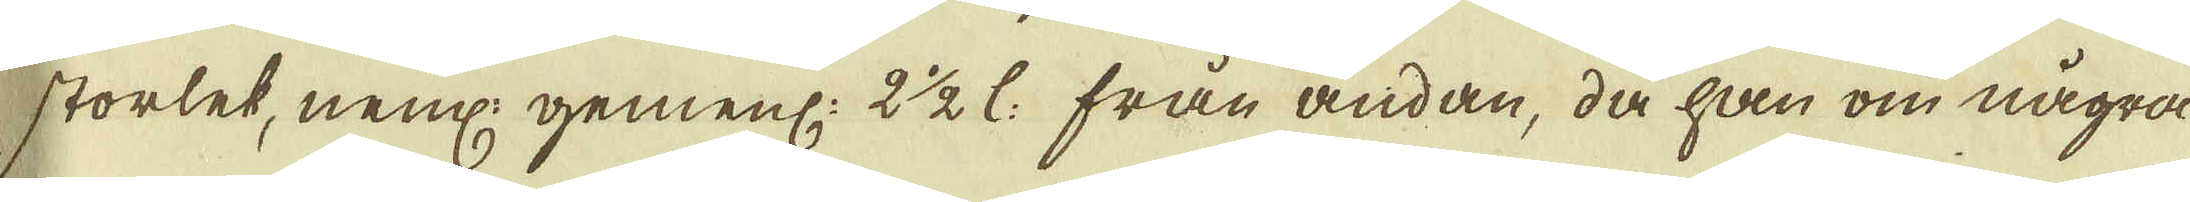storlek, neml: gemenl: 2 1/2 l: från ändan, då han om några
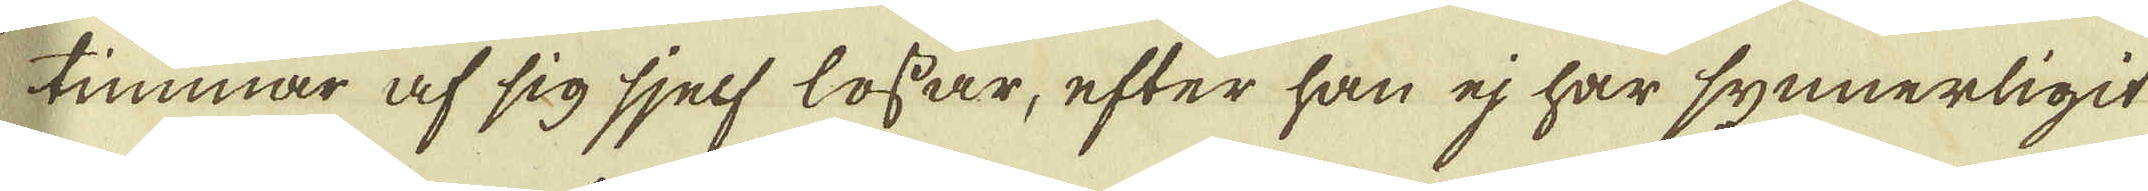timmar af sig sjelf lossar, efter han ej har synnerligit
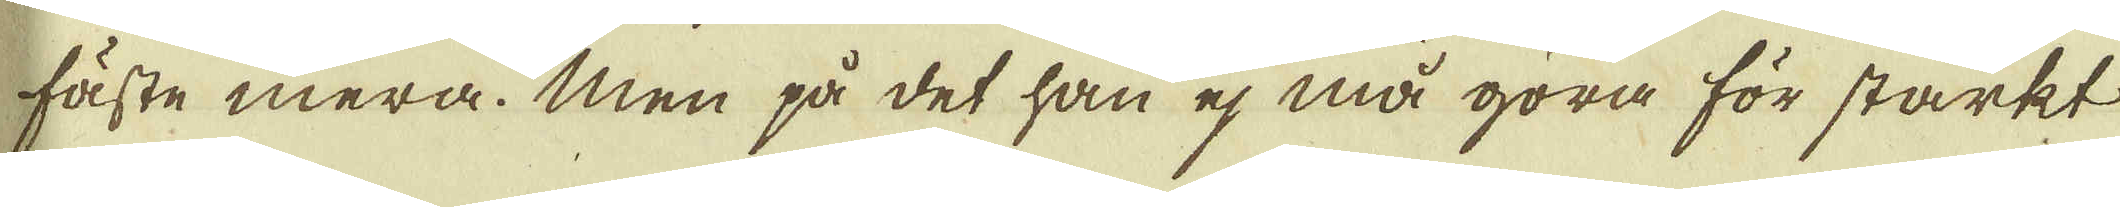fäste mera. Men på det han ej må göra för starkt
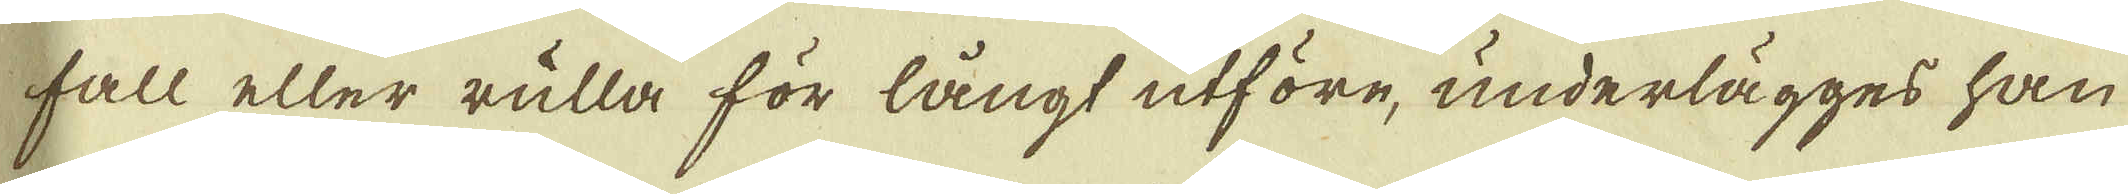fall eller rulla för långt utföre, underlägges han
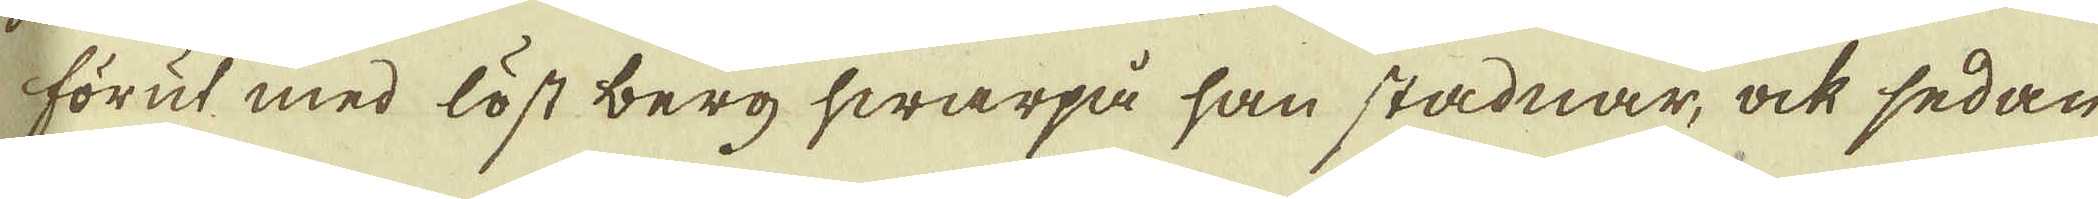förut med löst berg hwarpå han stadnar, ock sedan
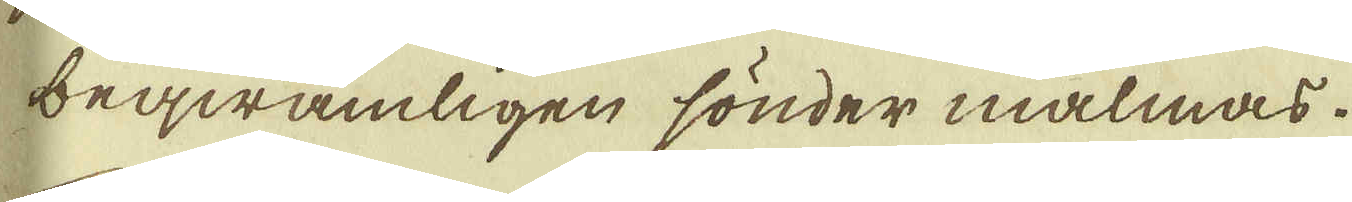beqwämligen sönder malmas.
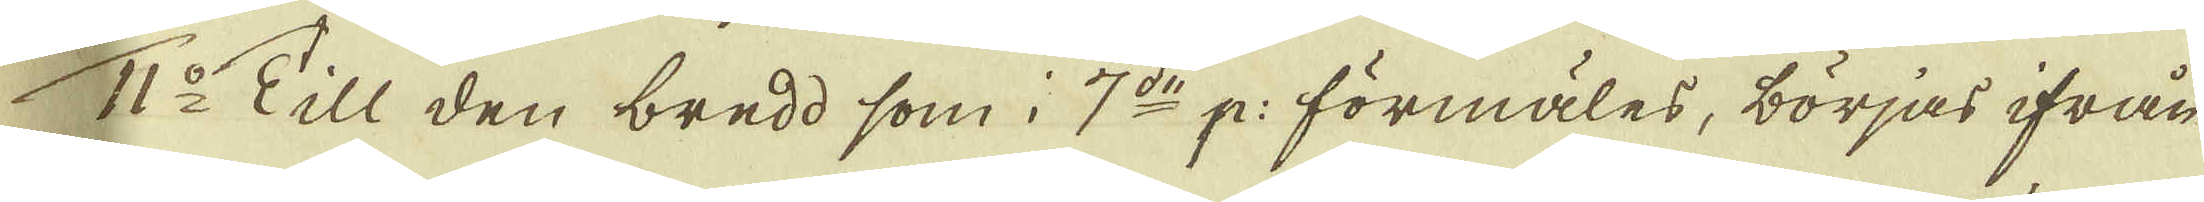11:o Till den bredd, som i 7:de p: förmäles, börjas ifrån
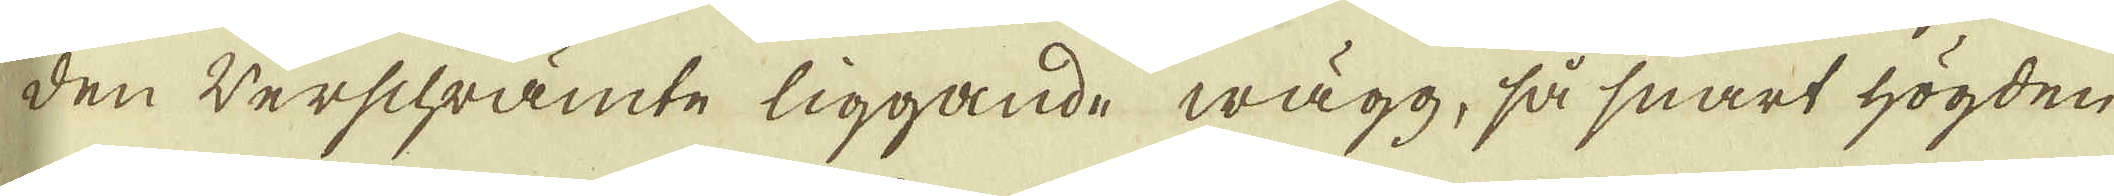den werschrämte liggande wägg, så snart högden
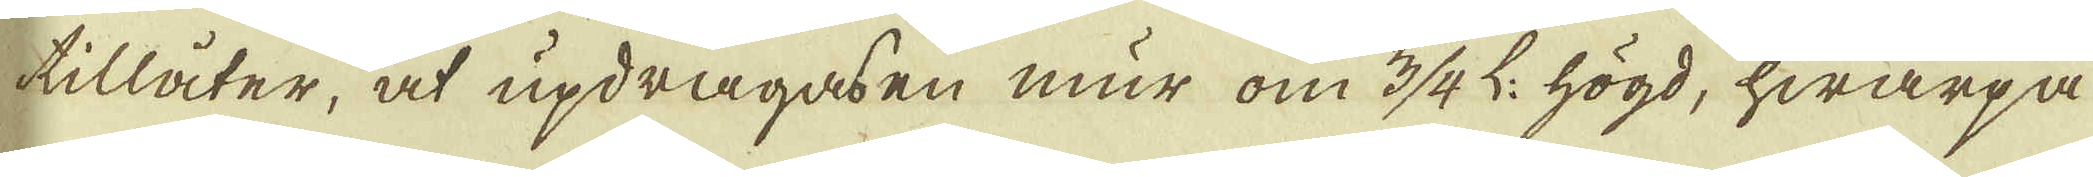tillåter, at updragas en mur om 3/4 L. högd, hwarpå
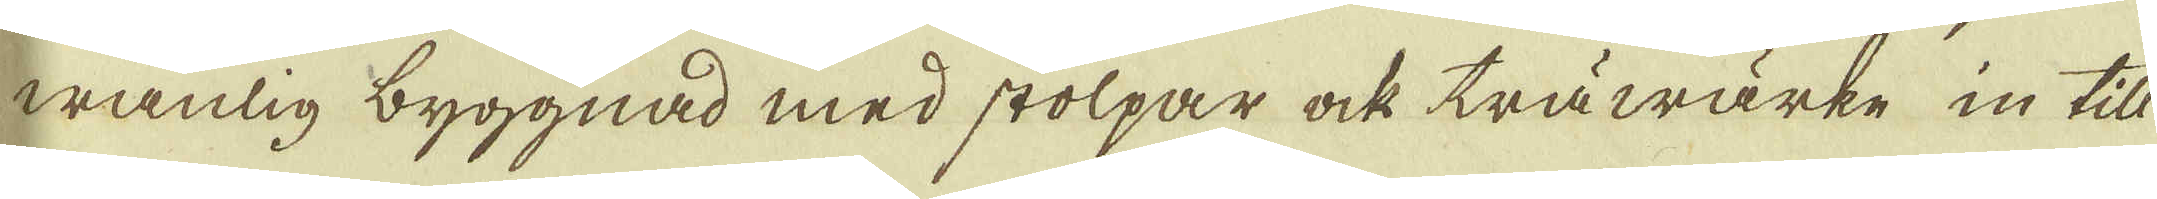wanlig byggnad med stolpar ock träwärke in till
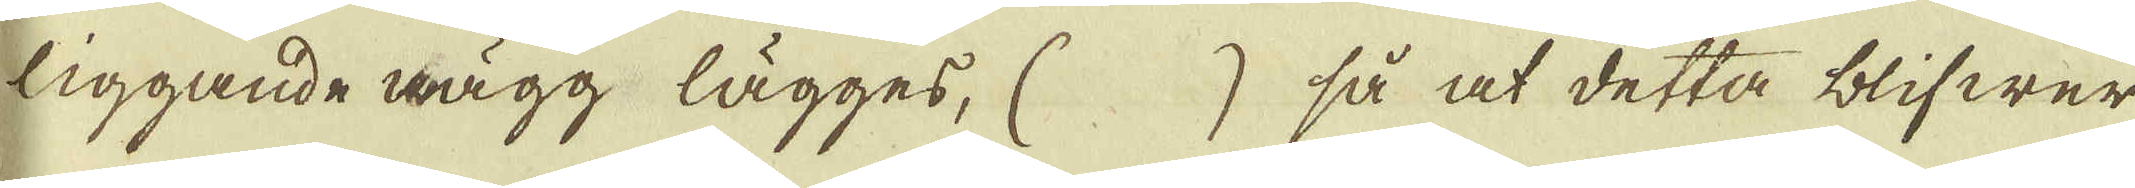liggande bägg lägges, ( ) så at detta blifwer
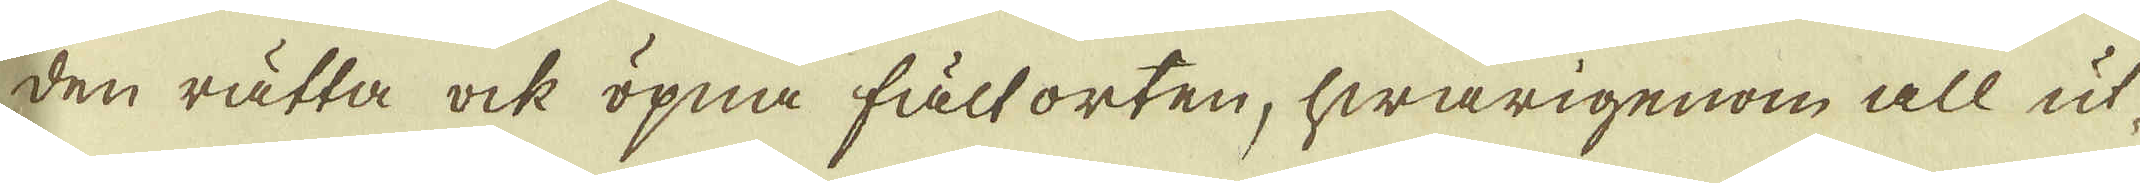den rätta ock öpna fältorten, hwarigenom all ut-
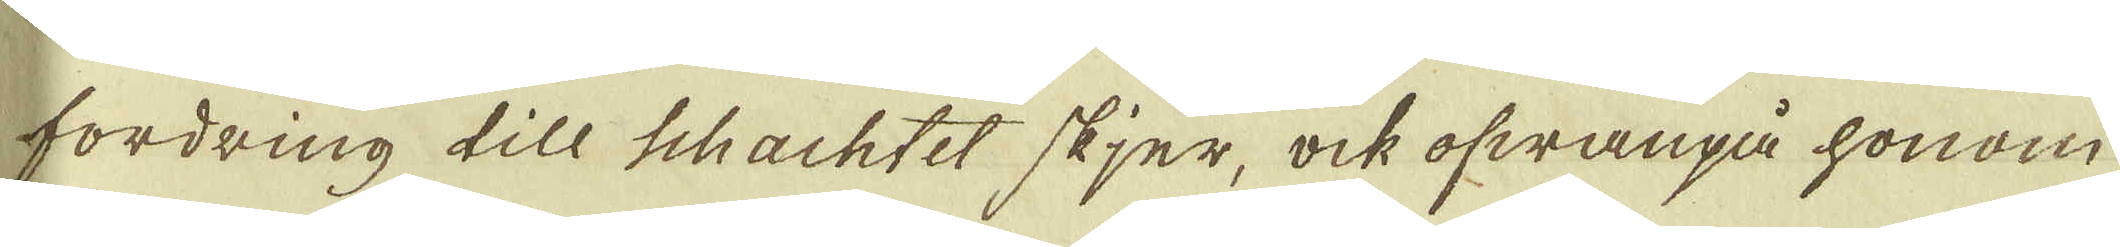fordring till schachtet skjer, ock ofwanpå honom
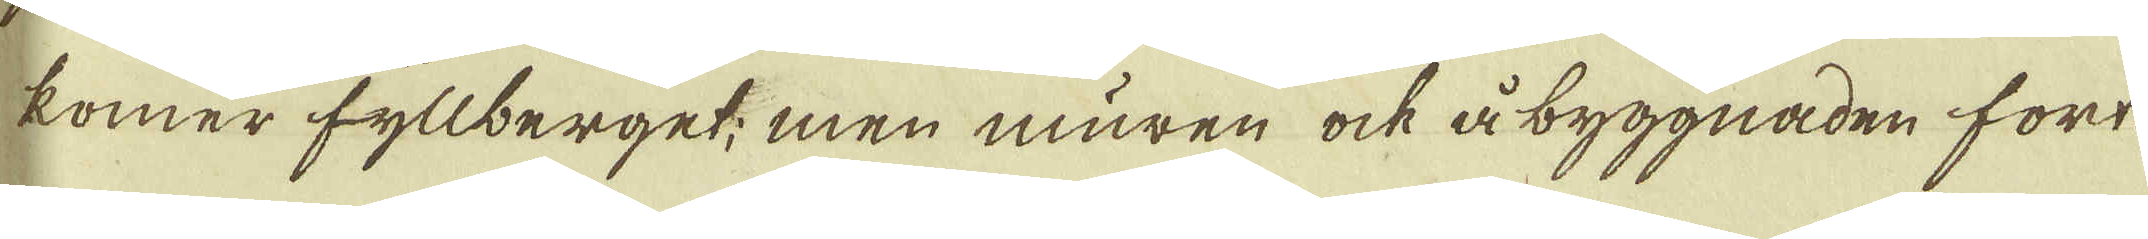komer fyllberget; men muren ock åbyggnaden fort-
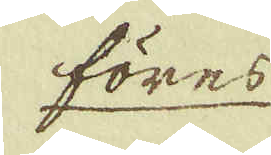föres
